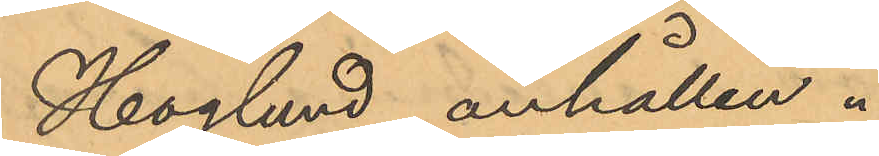Höglund anhållen.
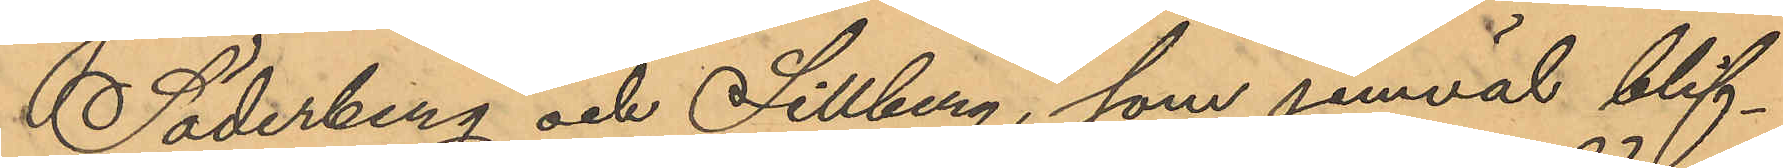Söderberg och Sillberg, som jemväl blif¬
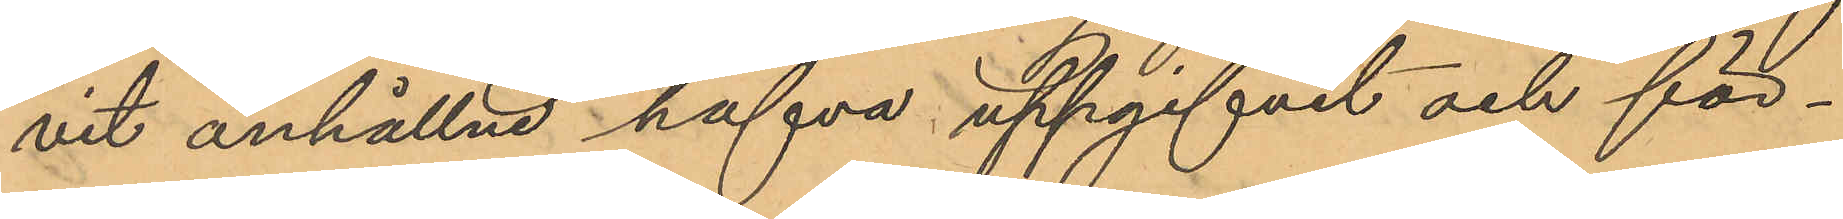vit anhållne hafva uppgifvit och för¬
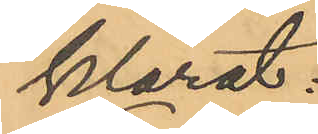klarat:
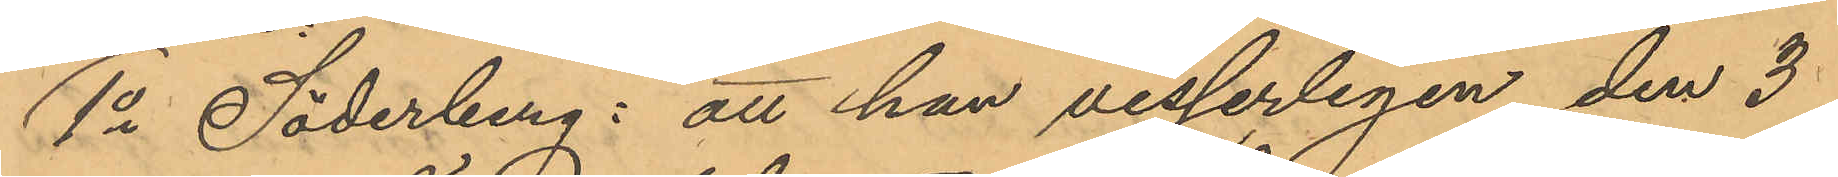1o Söderberg: att han visserligen den 3
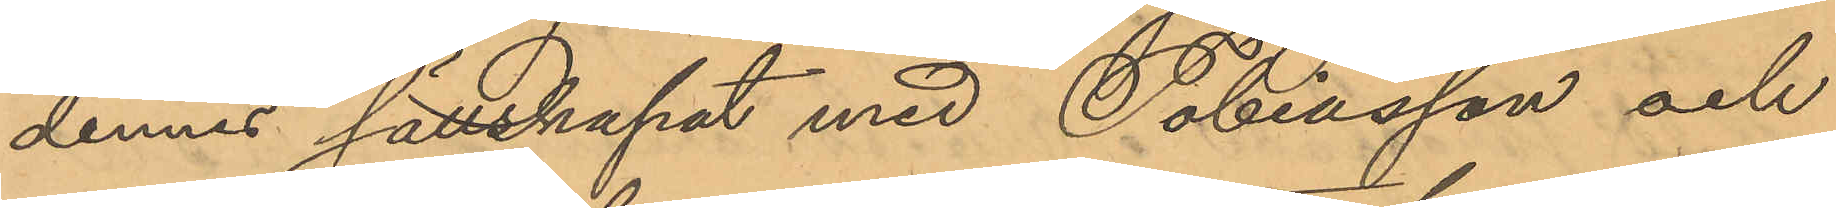dennes sällskapat med Tobiasson och
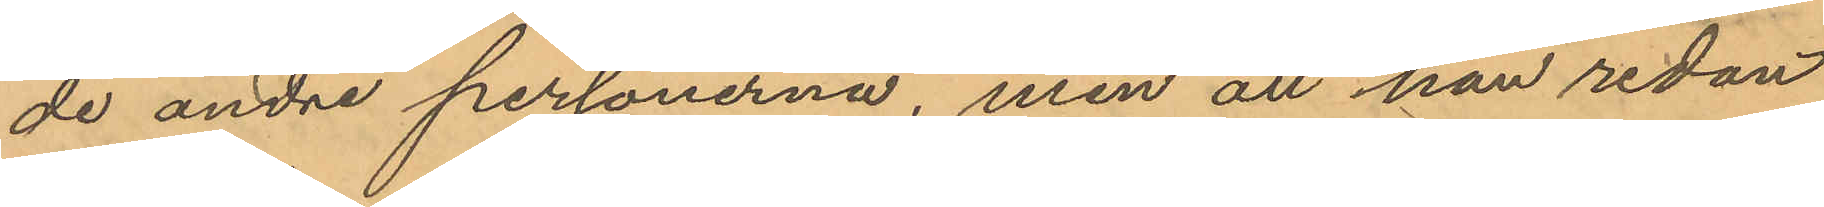de andre personerna, men att han redan
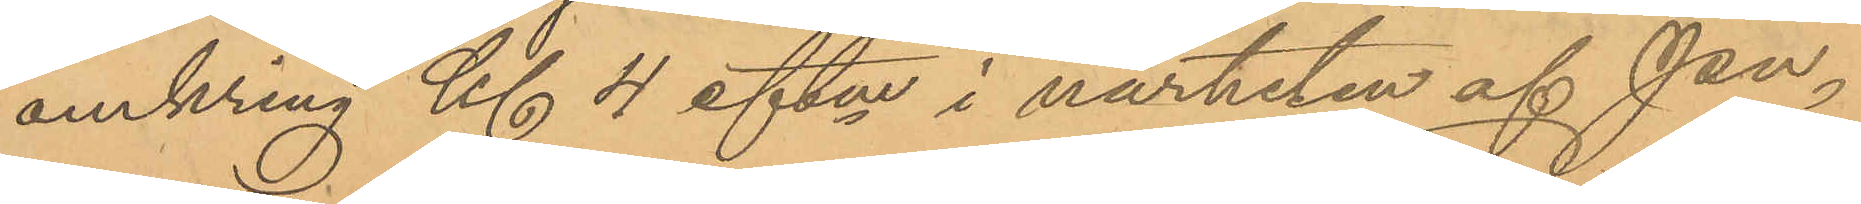omkring Kl 4 eftm i närheten af Pu¬
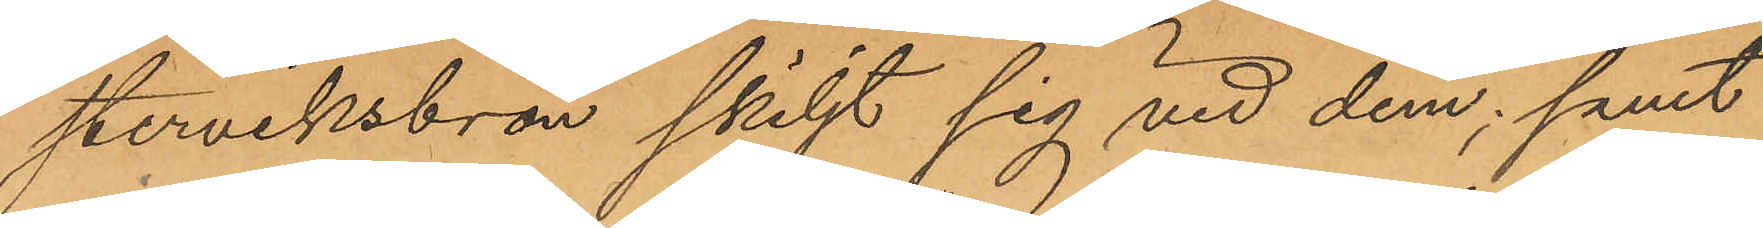sterviksbron skiljt sig vid dem; samt
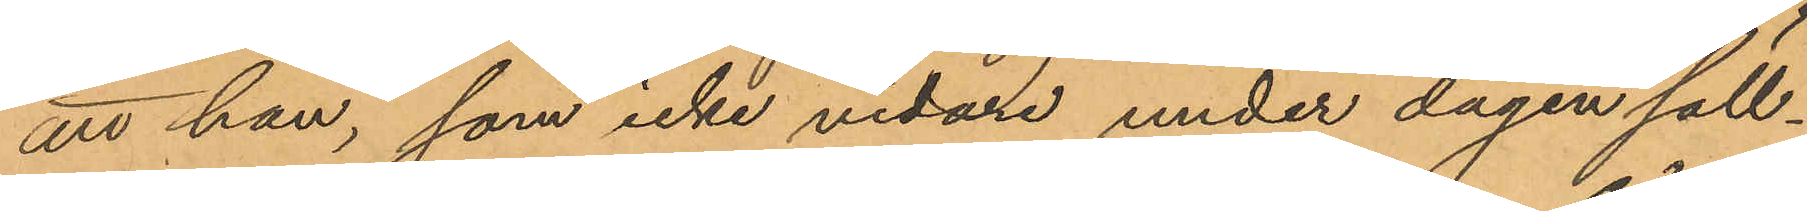att han, som icke vidare under dagen säll¬
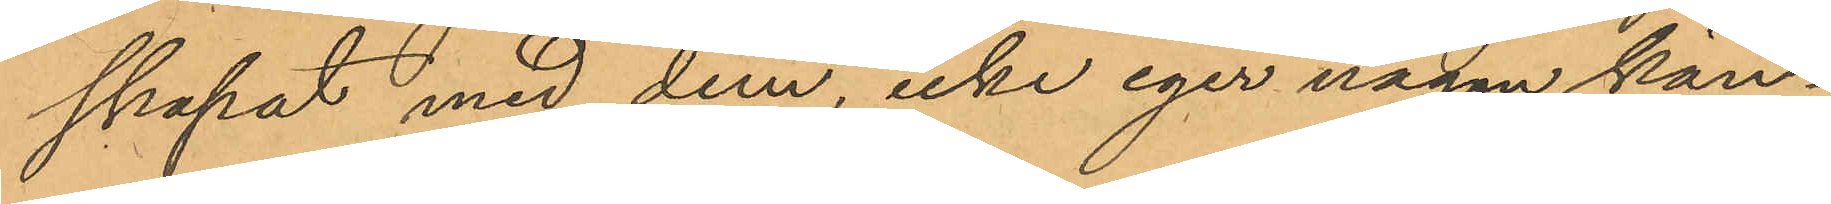skapat med dem, icke eger någon kän¬
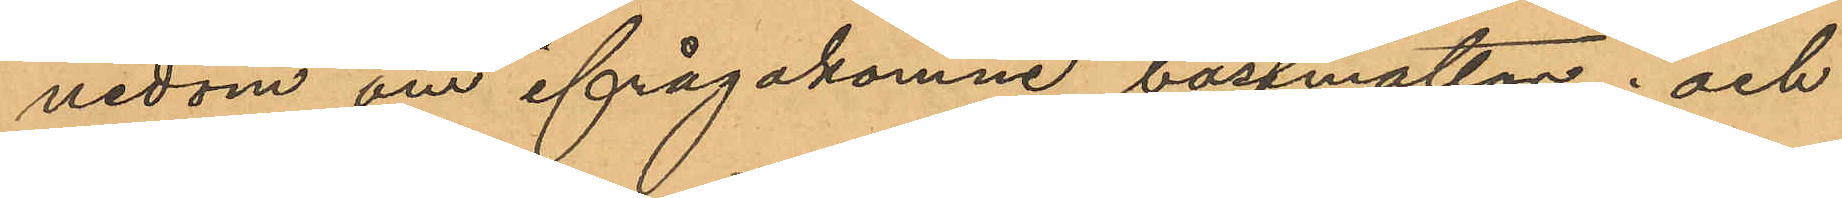nedom om ifrågakomne bastmattor; och
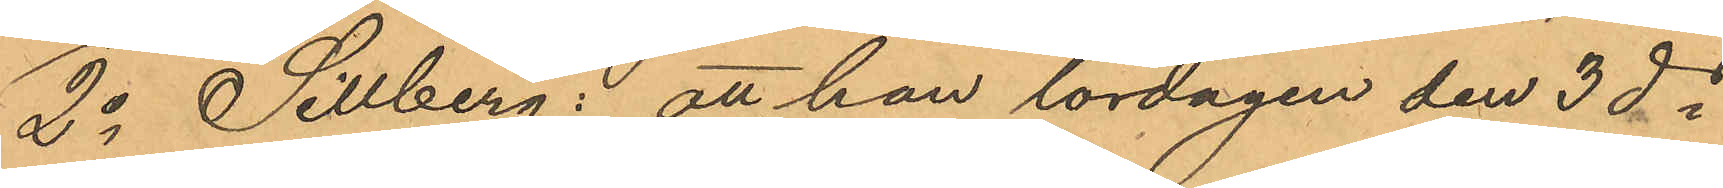2o Sillberg: att han lördagen den 3dje i
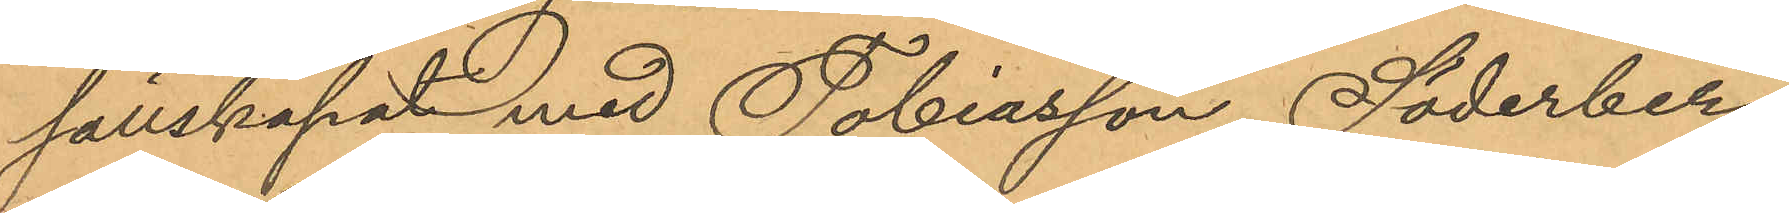sällskapat med Tobiasson, Söderberg
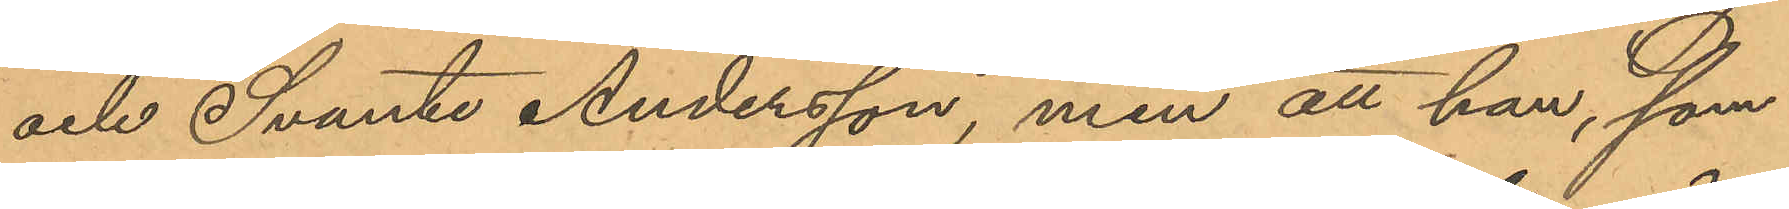och Svante Andersson, men att han, som
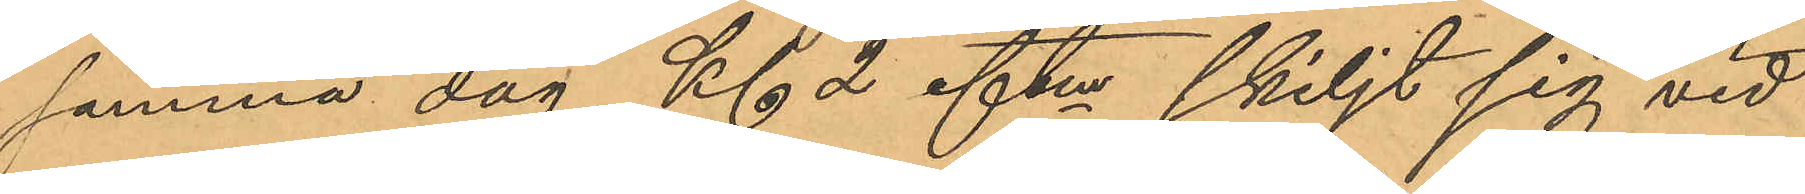samma dag Kl 2 eftm skiljt sig vid
